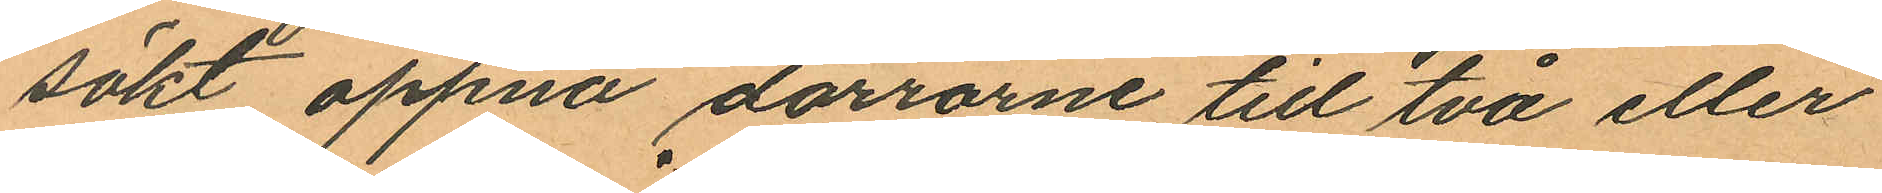sökt oppna dörrarne till två eller
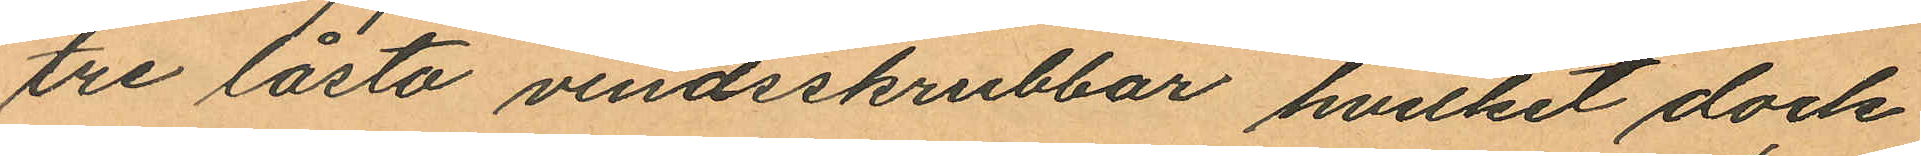tre låsta vindsskrubbar, hvilket dock
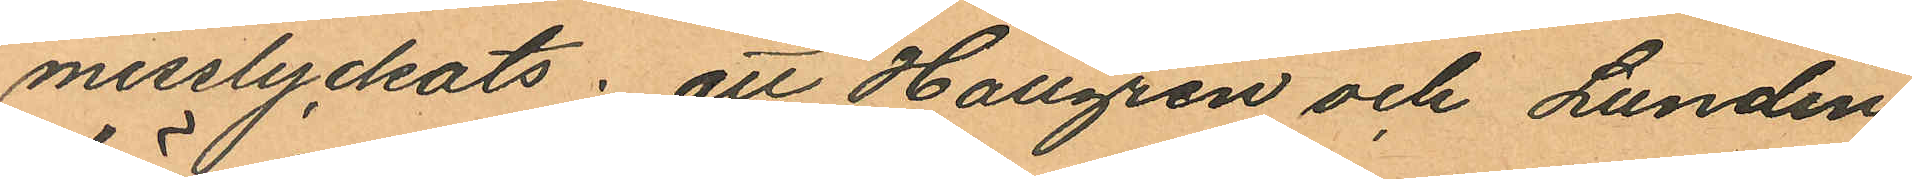misslyckats; att Hallgren och Lundin
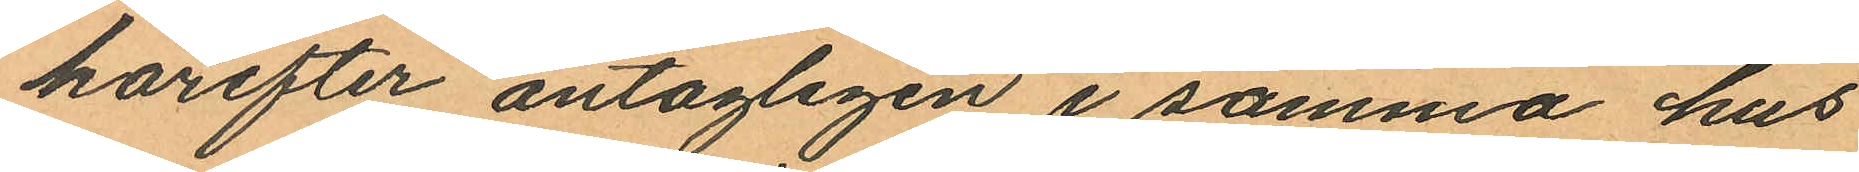härefter antagligen i samma hus
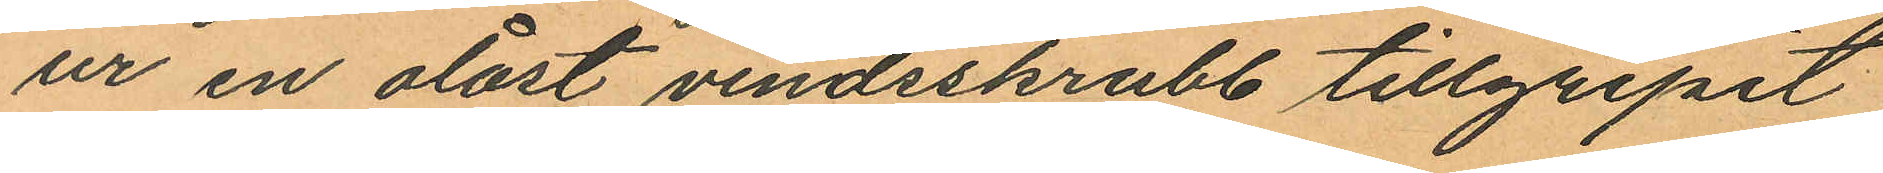ur en olåst vindsskrubb tillgripit
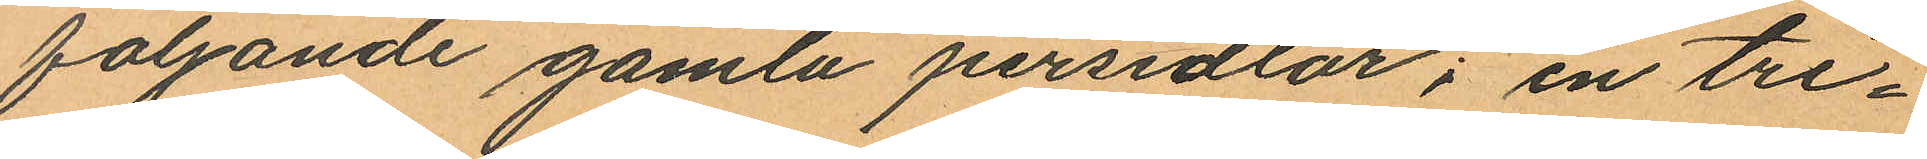följande gamla persedlar; en tri¬
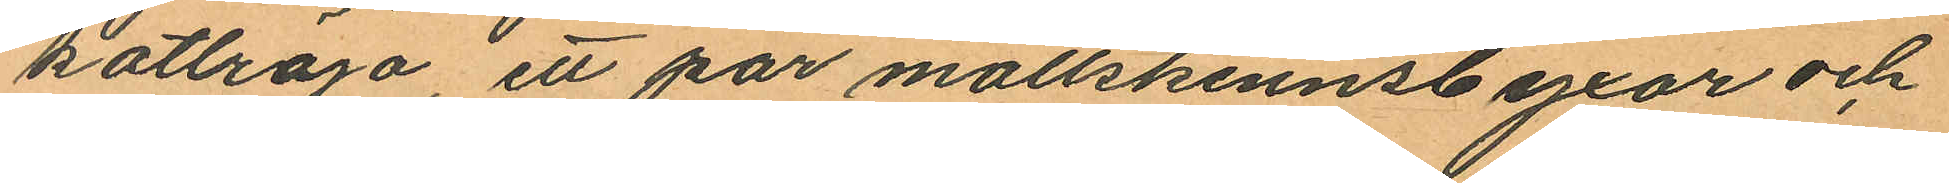kottröja, ett par mollskinnsbyxor och
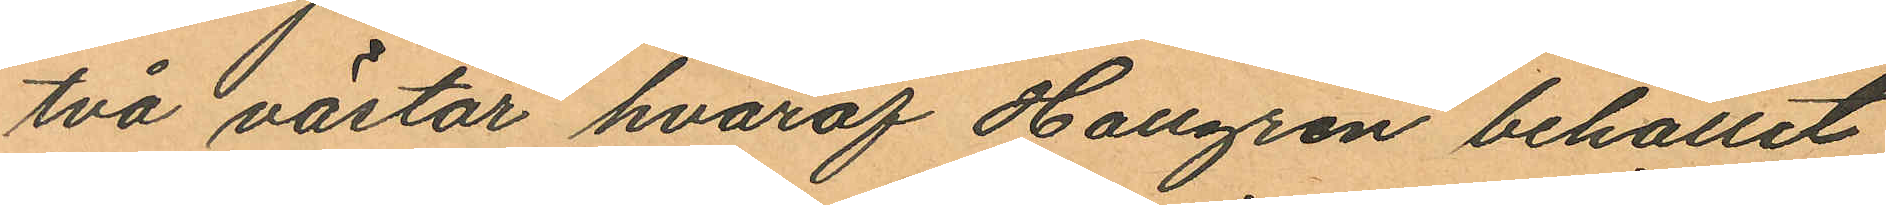två västar hvaraf Hallgren behållit
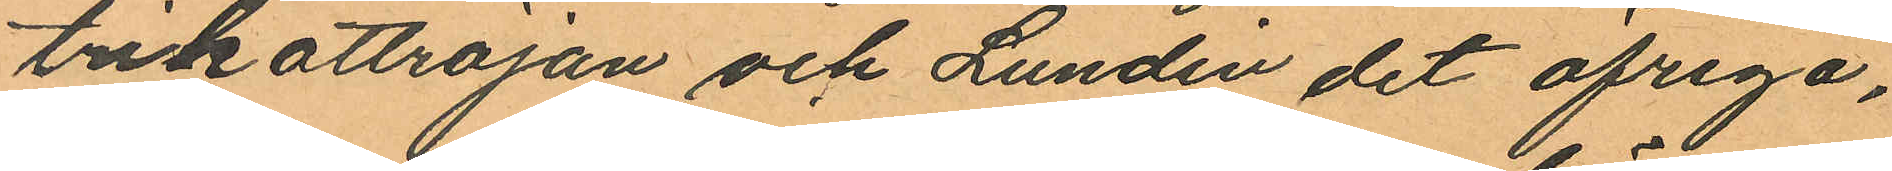trikottröjan och Lundin det öfriga,
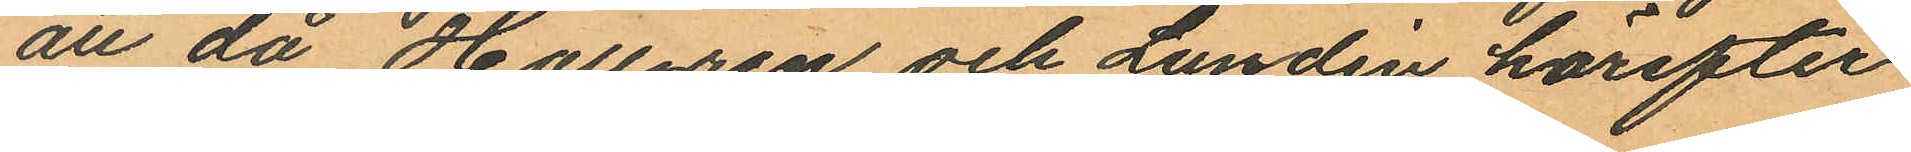att då Hallgren och Lundin härefter
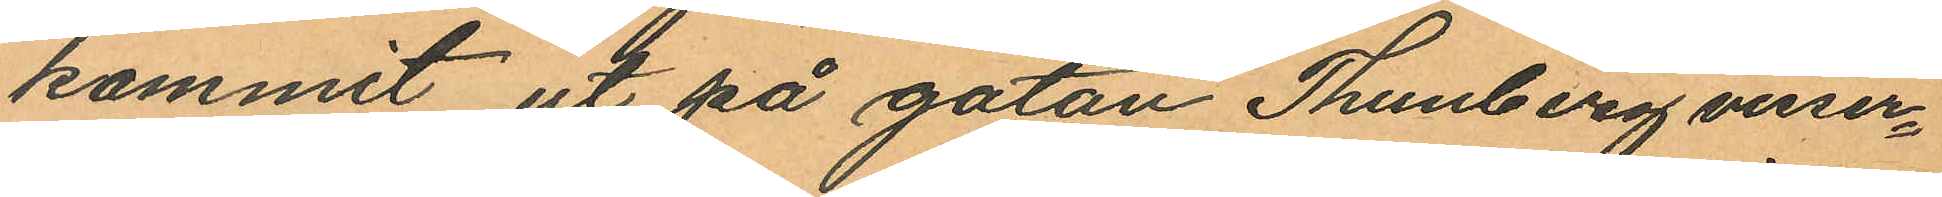kommit ut på gatan Thunberg visser¬
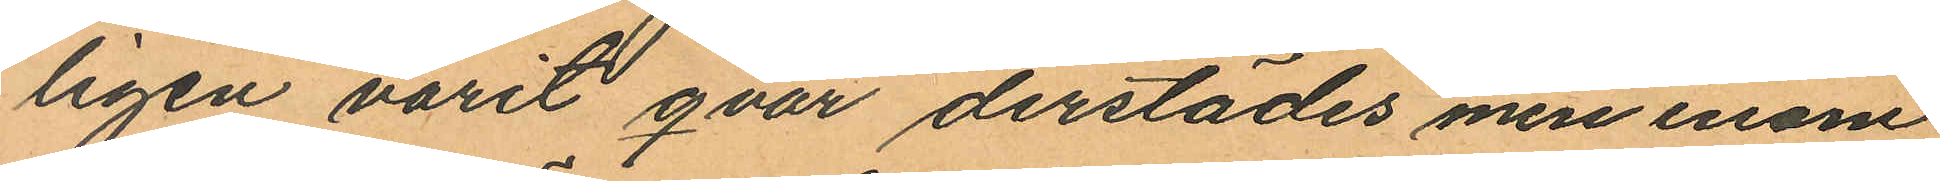ligen varit qvar derstädes men inom
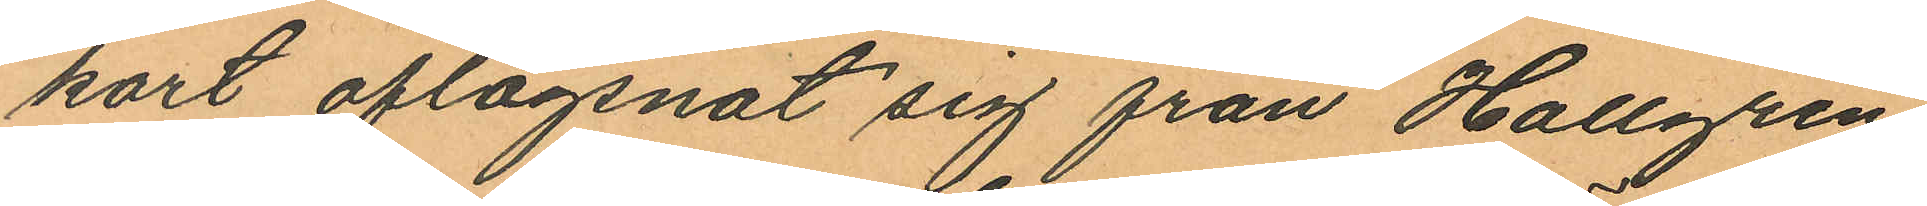kort aflägsnat sig från Hallgren
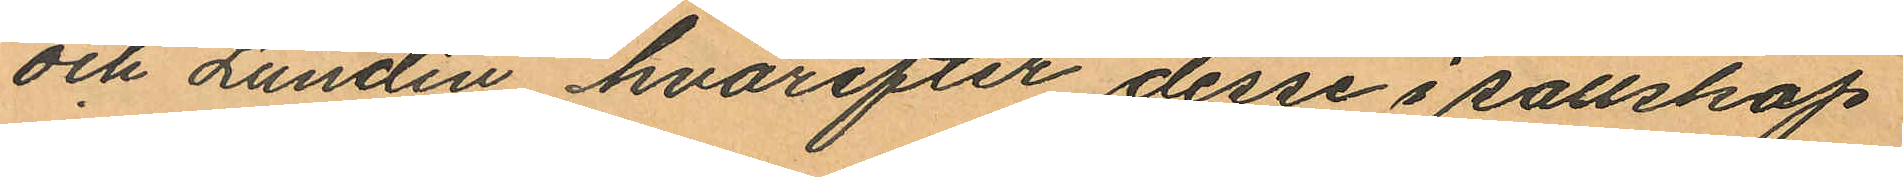och Lundin hvarefter desse i sällskap
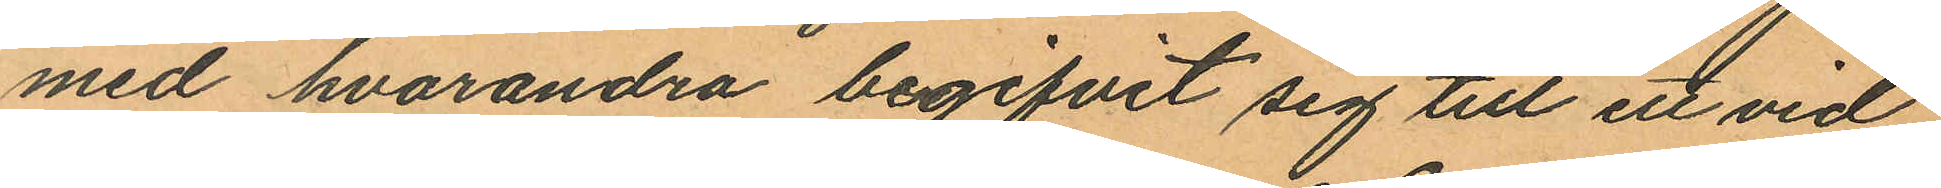med hvarandra begifvit sig till ett vid
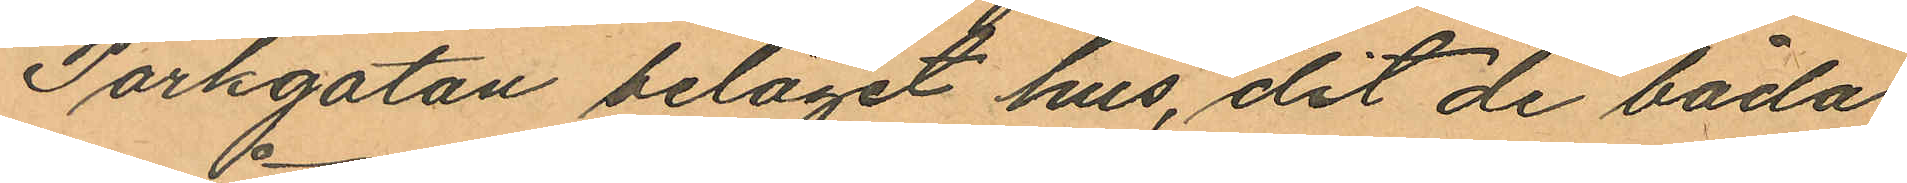Parkgatan beläget hus, dit de båda
